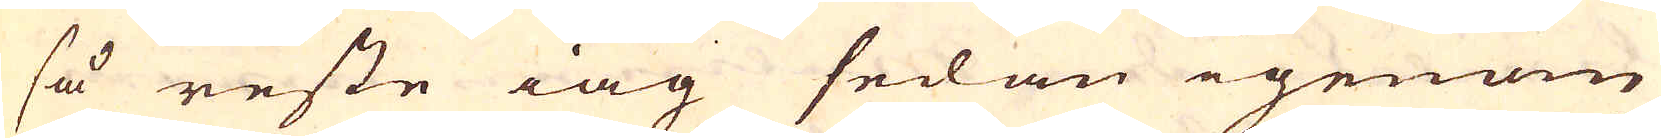så reste iag sedan igenom
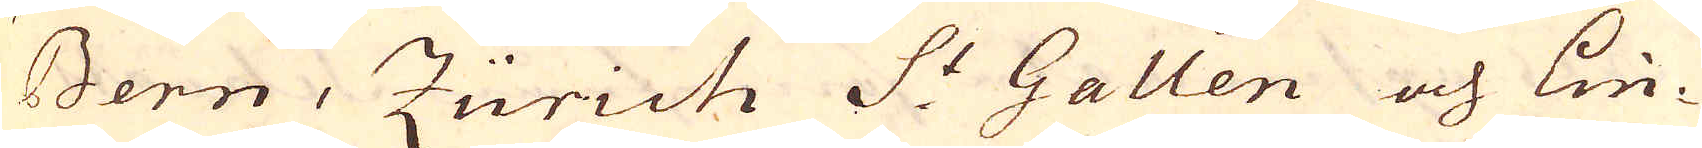Bern, Zürich S:t Gallen och Lin-
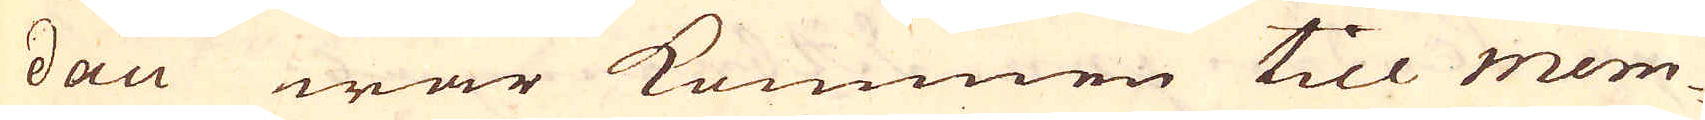dau war kommen till Mem-
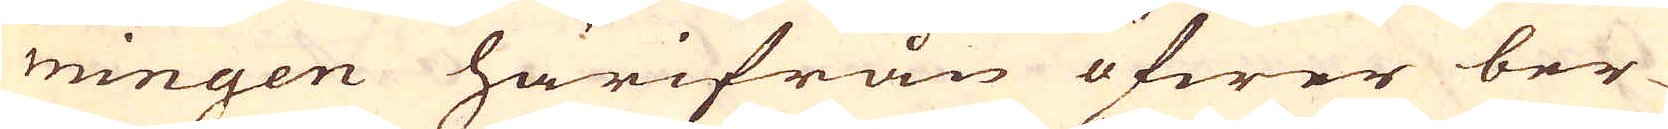mingen härifrån öfwer ber-
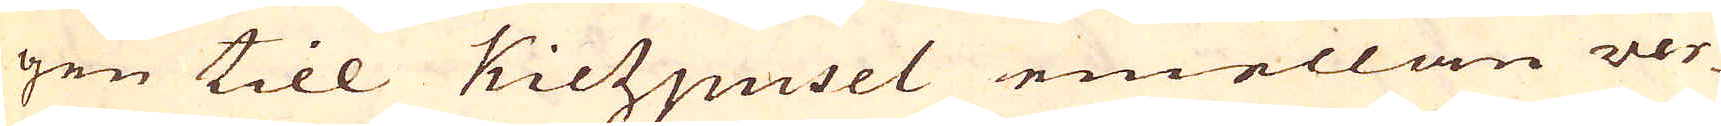gen till Kietzpusel emellan ver-
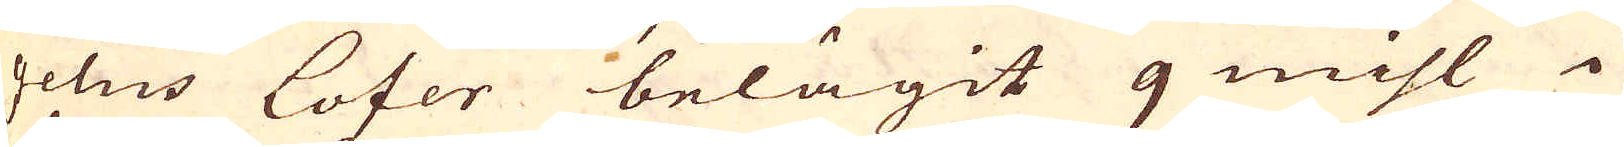gelns lofer belägit 9 mihl i
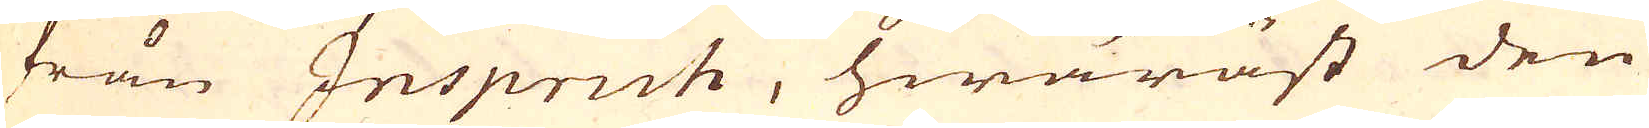från Inspruch, hwaräst den
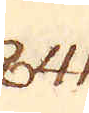841.
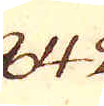842.
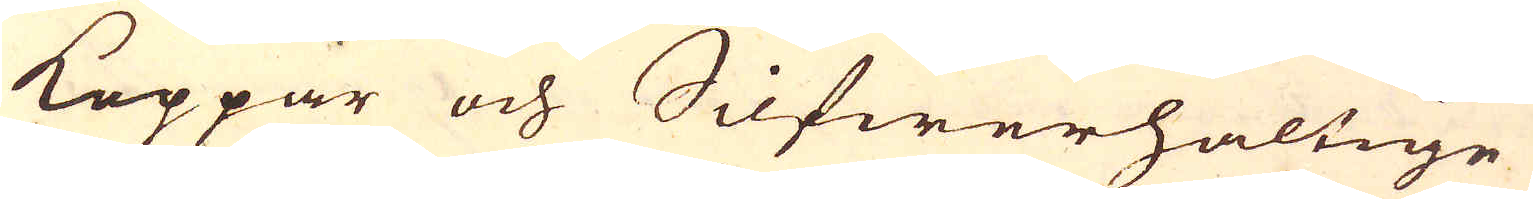Koppar och Silfwerhaltige
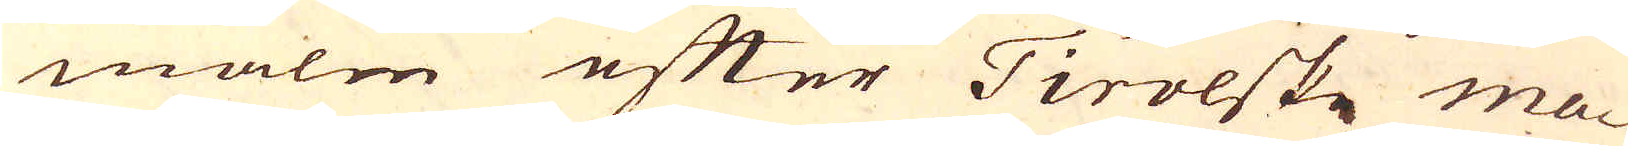malm efter Tirolske ma-
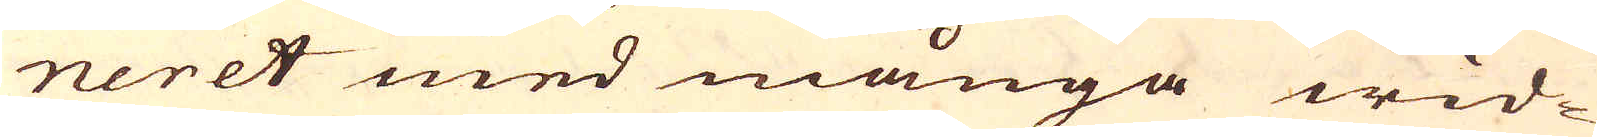neret med många wid-
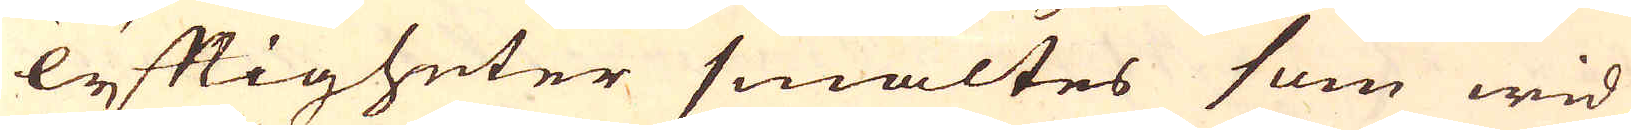lyftigheter smältes som wid
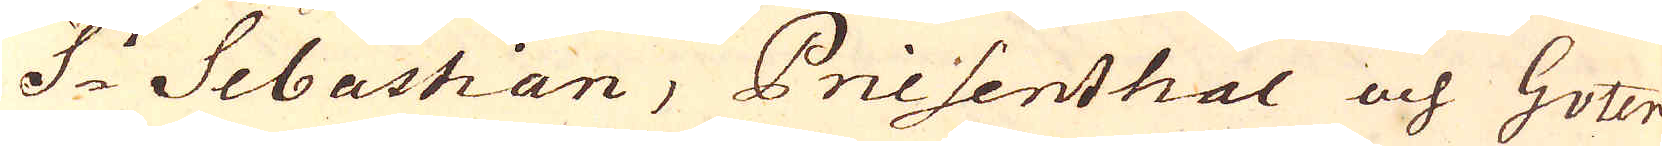S:t Sebastian, Priesenthal och Guter-
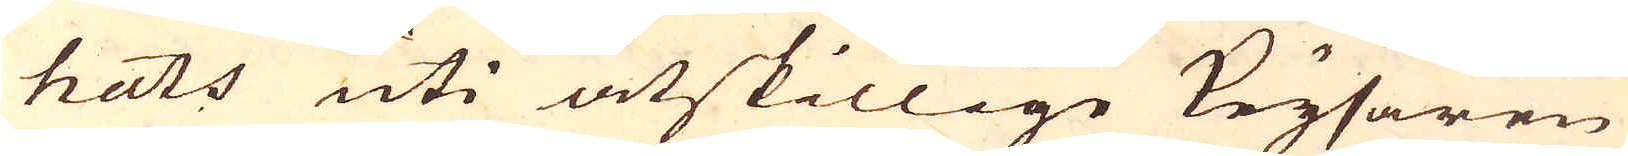hats uti åtskillige Keysaren
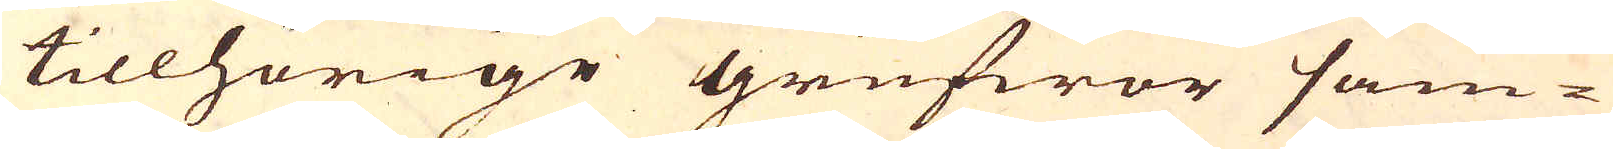tillhörige grufwor sam-
